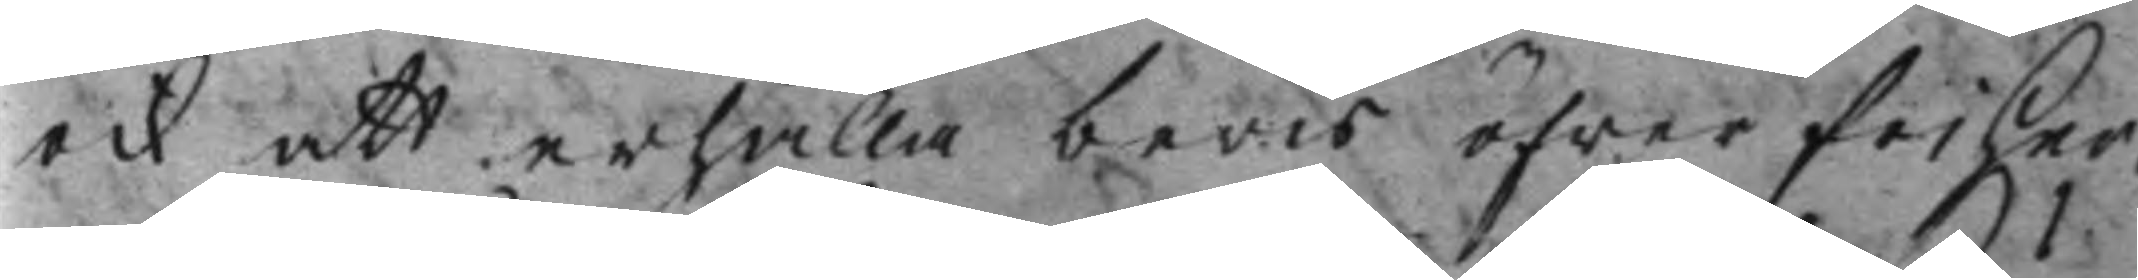ock att erhålla bevis öfwer friher¬
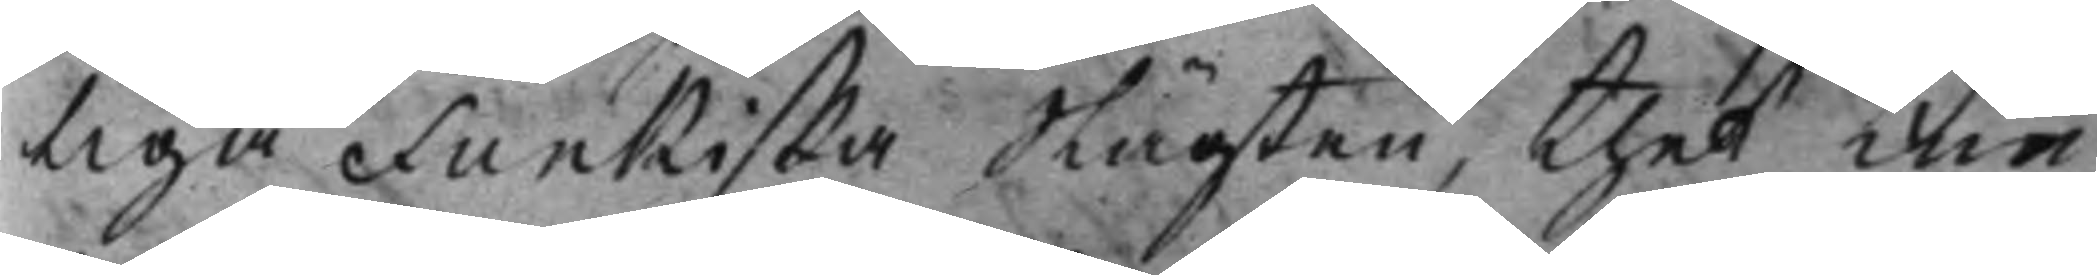liga Funkiska Slägten, thet kun¬
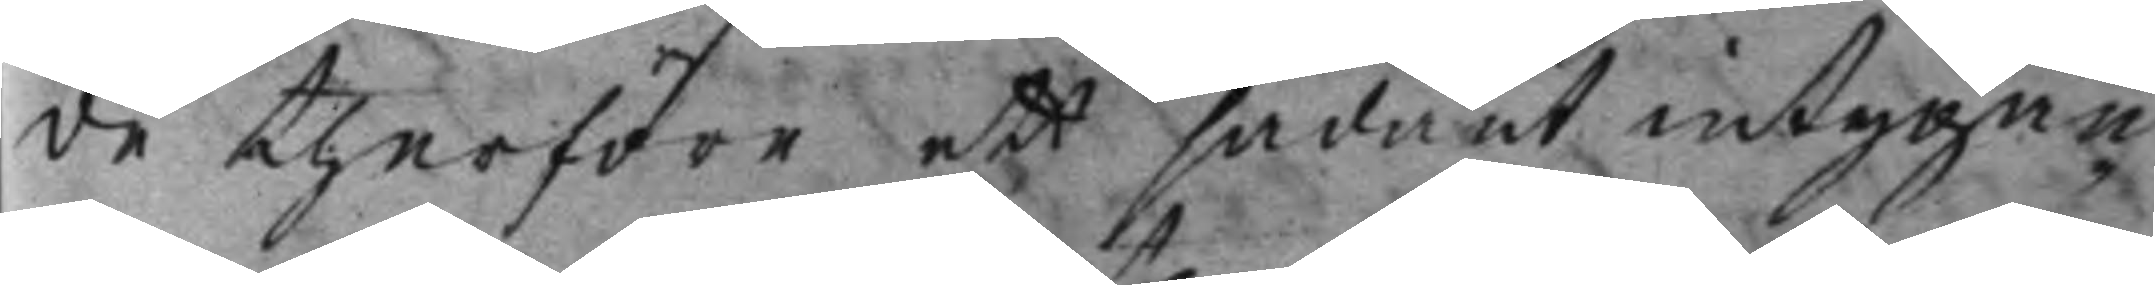de therföre ett sådant intygan¬
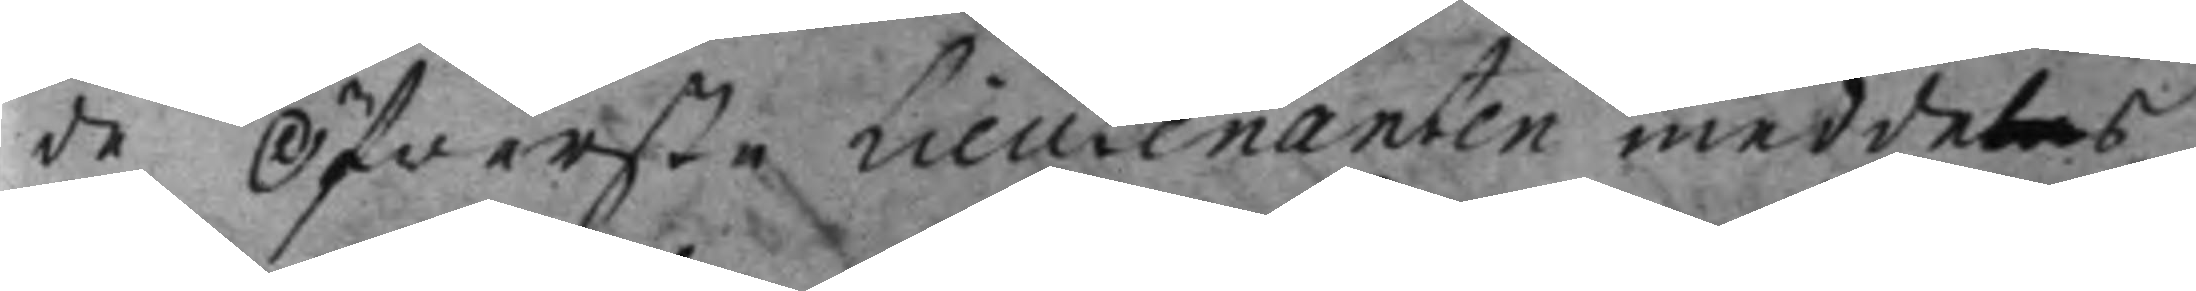de Öfwerste Lieutenanten meddelas,
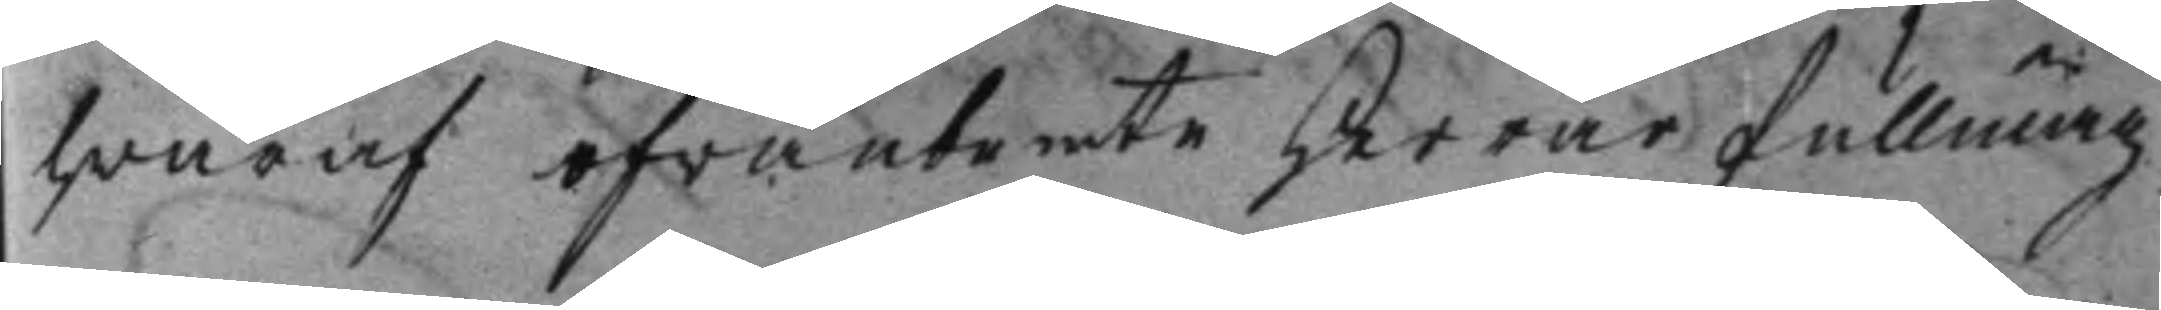hwaraf ofwanbemte Herrar fullmäg¬
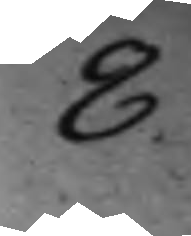8.
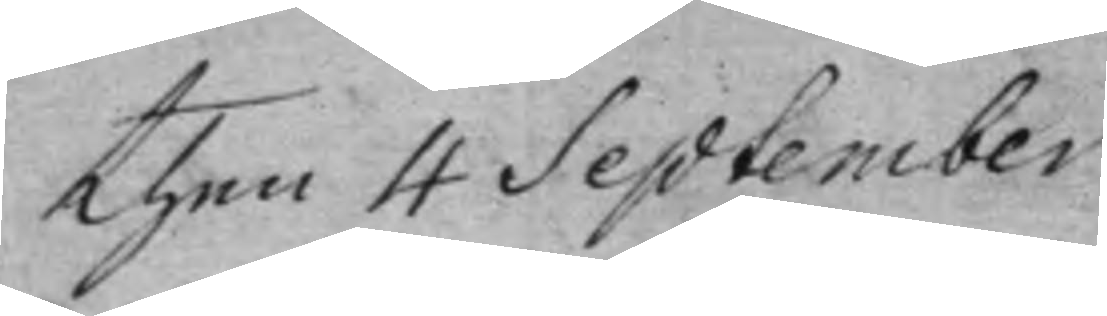Then 4 September
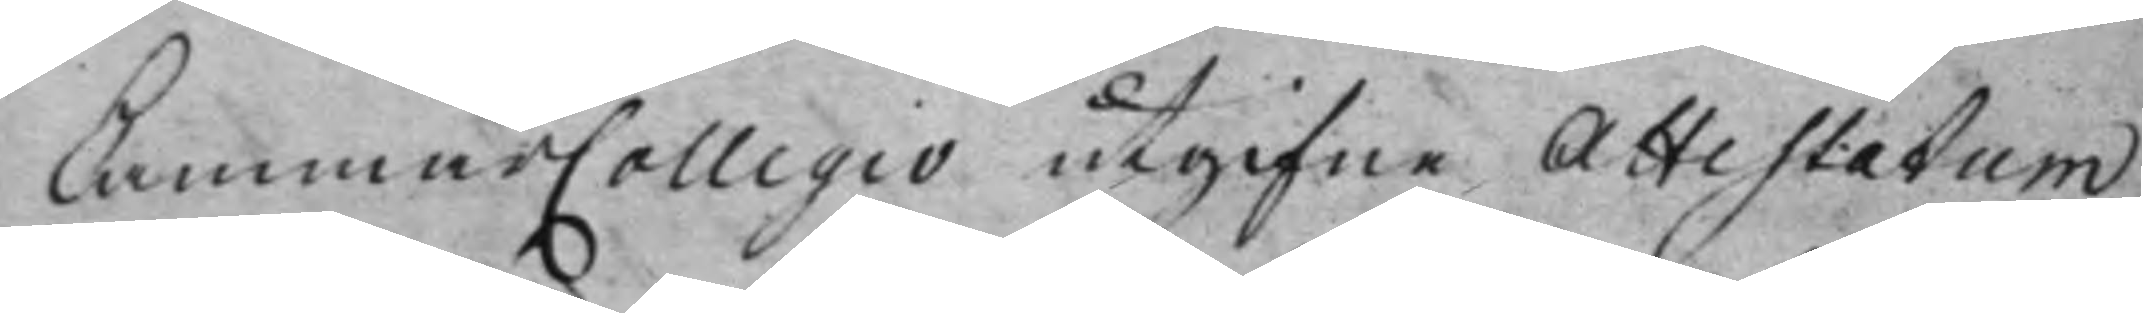CammarCollegio utgifne Attestatum,
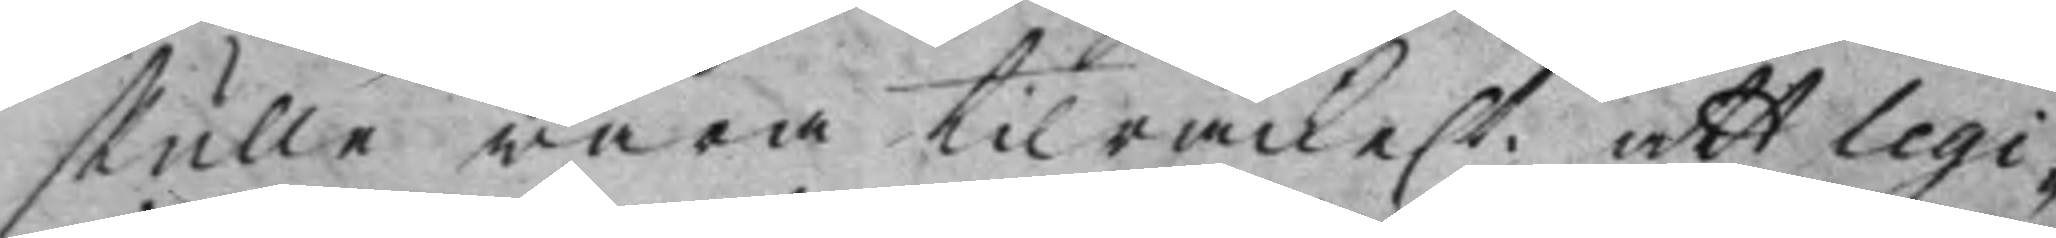skulle wara tilräcke.t att legi¬
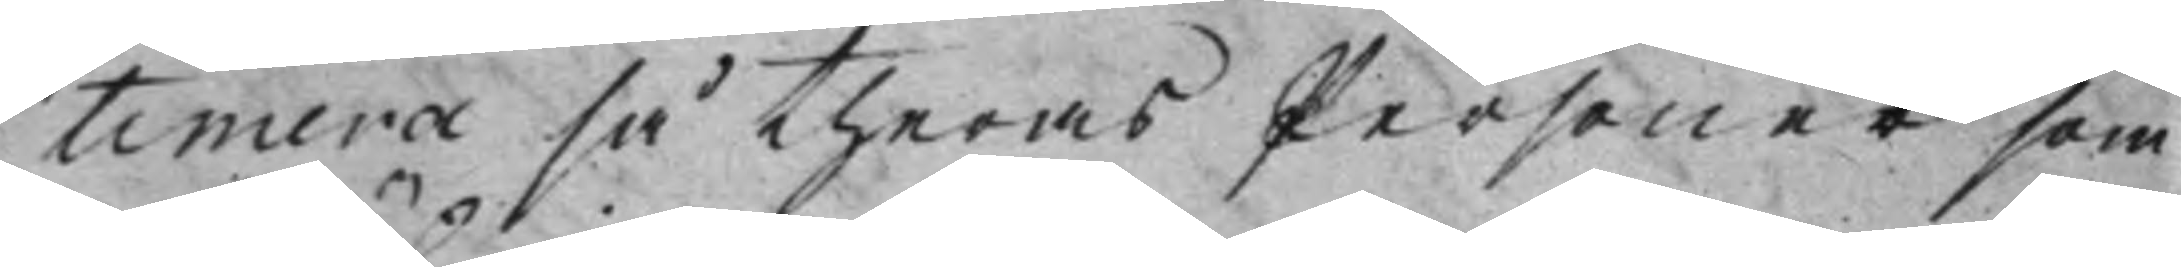timera så theras Personer som
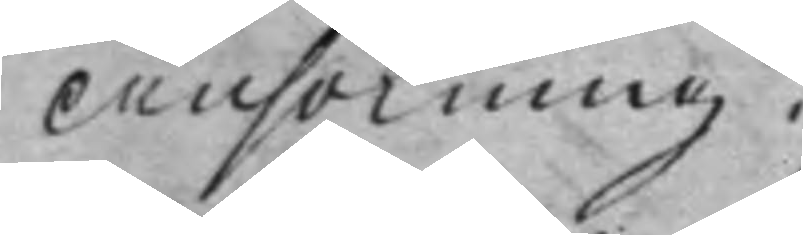Ansökning.
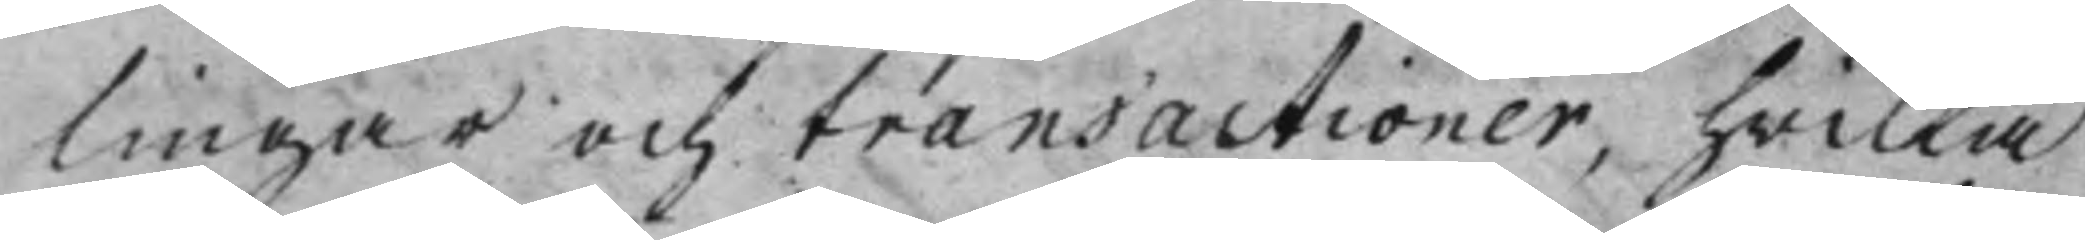lingar och transactioner, hwilka
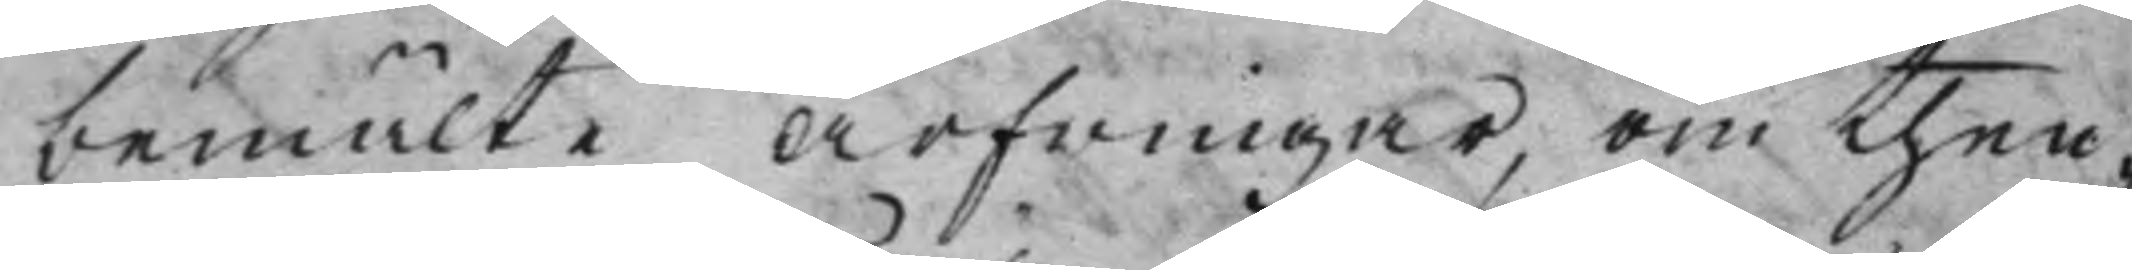bemälte Arfwingar, om then¬
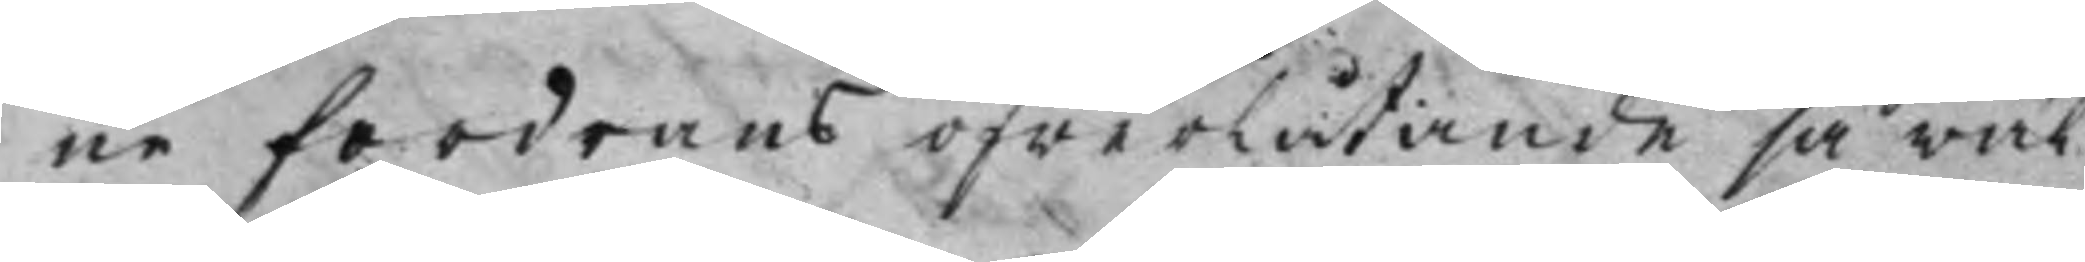ne fordrans öfwerlåtande såwäl
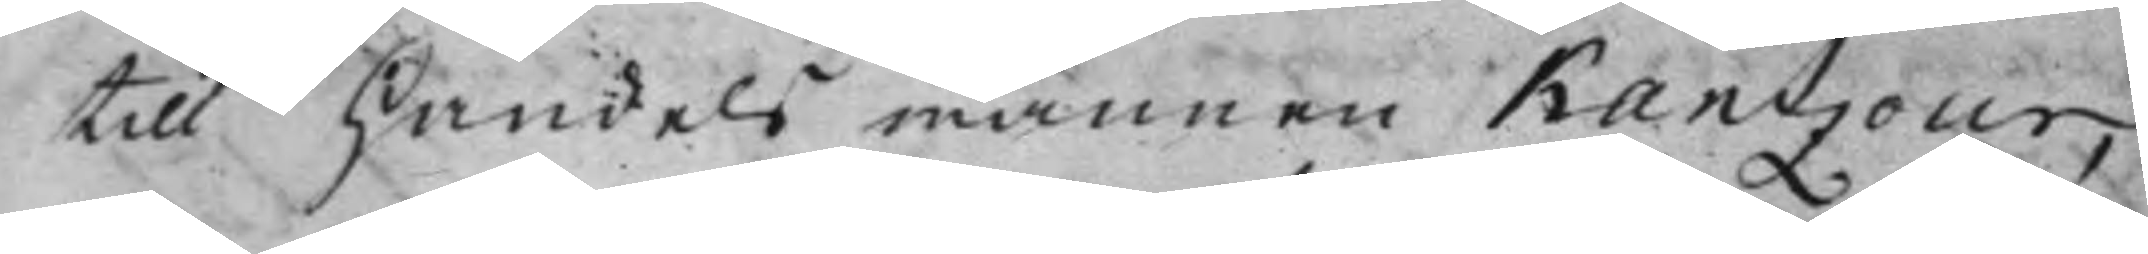till Handelsmannen Kantzour,
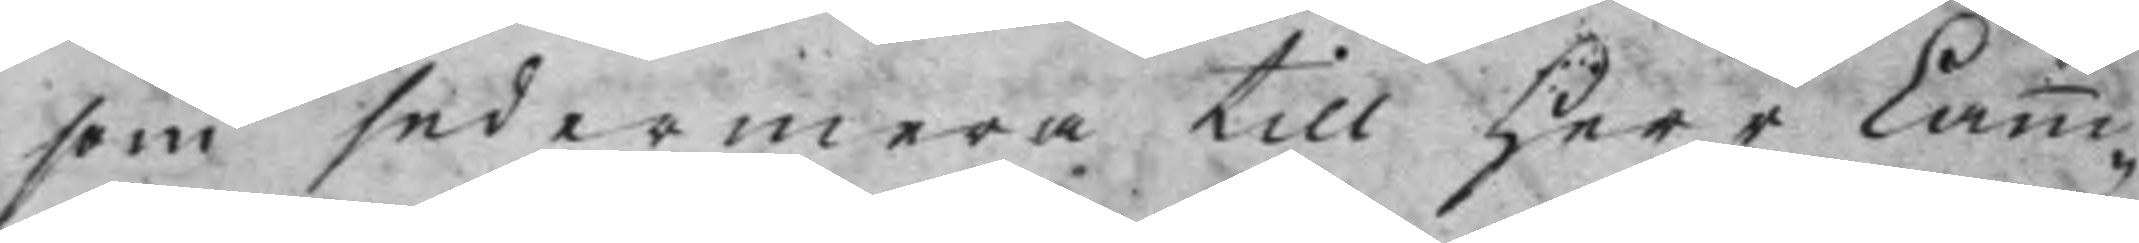som sedermera till Herr Camm¬
